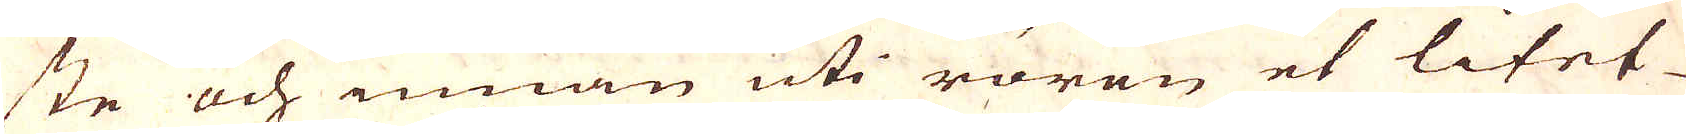ste och innan uti rören et litet
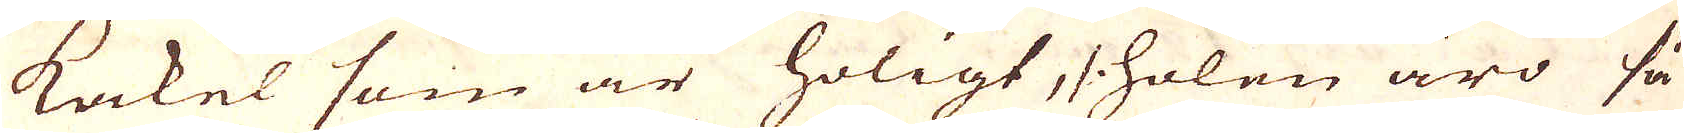Kakel som är holigt, /: holen äro så
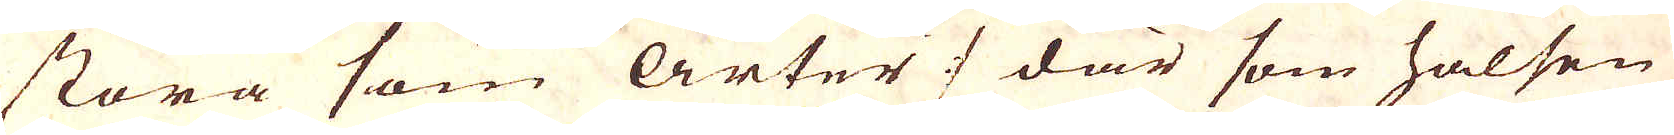stora som Ärter :/ där som halsen
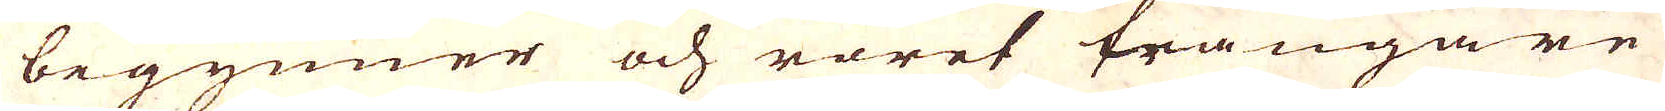begynner och röret trångare
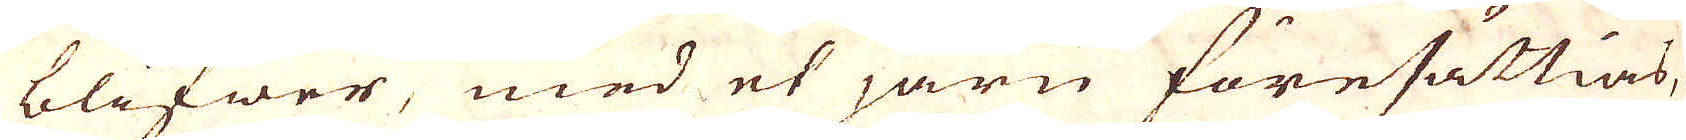blifwer, med et järn föresättias,
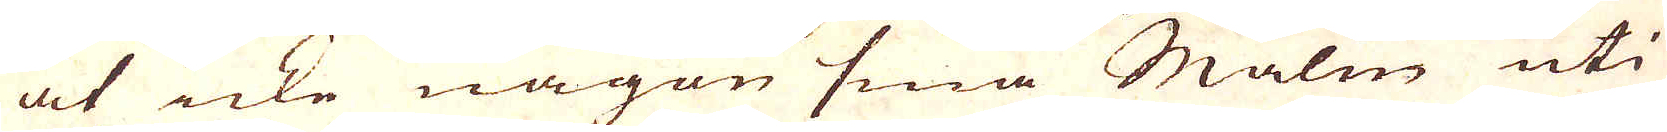at icke någon små Malm uti
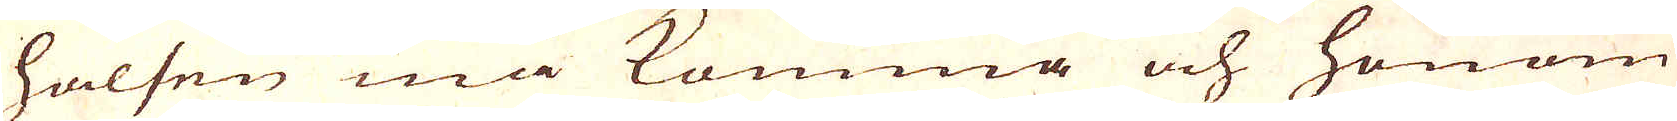halsen må komma och honom
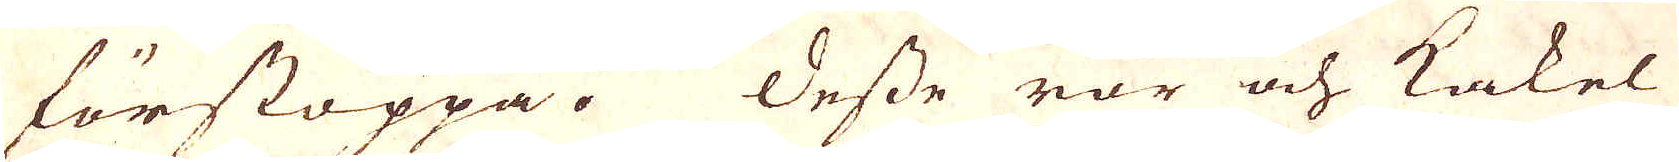förstoppa. Desse rör och Kakel
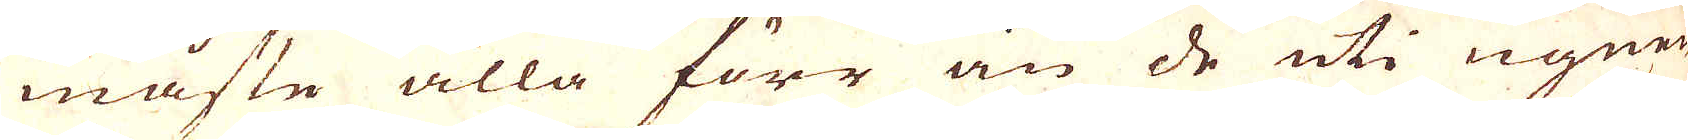måste alla förr än de uti ugnen
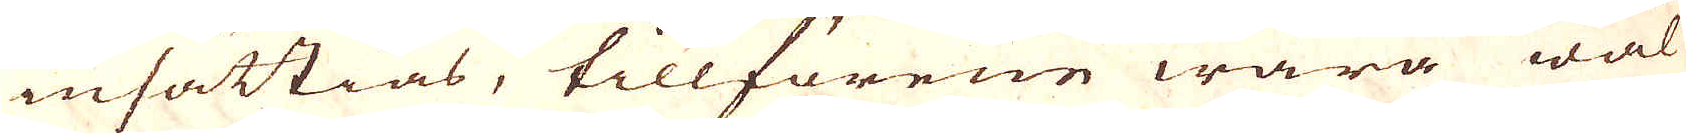insättias, tillförene wara wäl
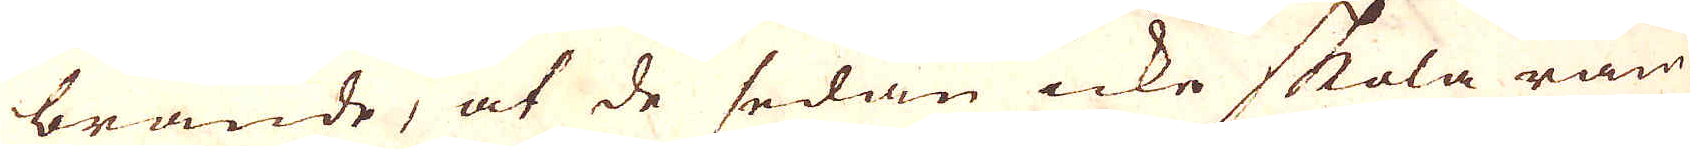brände, at de sedan icke skola räm-
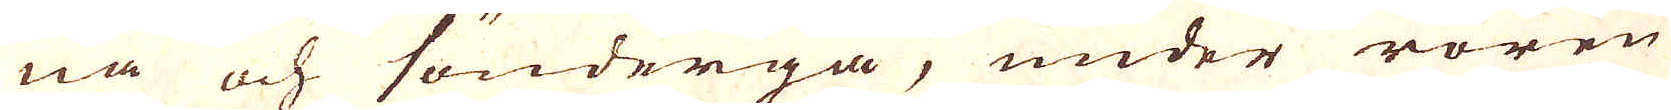na och söndergå, under rören
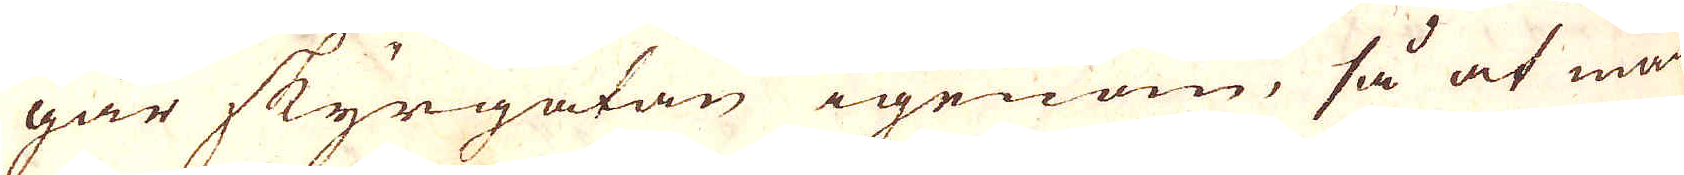går Skyrgatan igenom, så at man
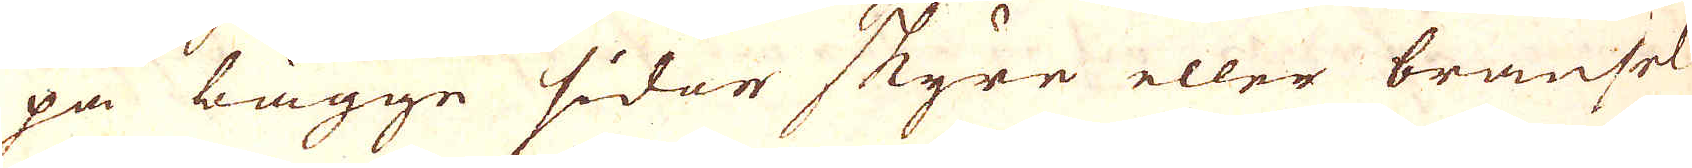på bägge sidor Skyre eller bransel
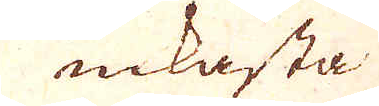inkasta
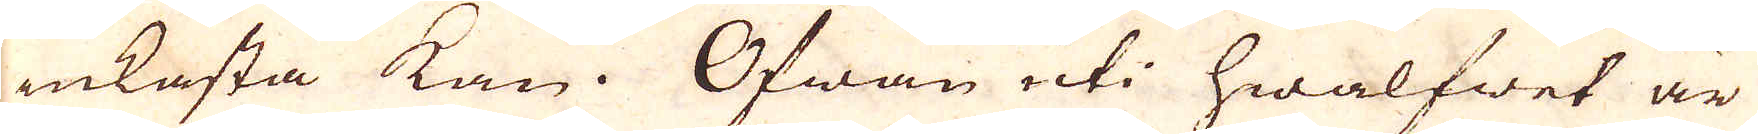inkasta kan. Ofwan uti hwalfwet är
